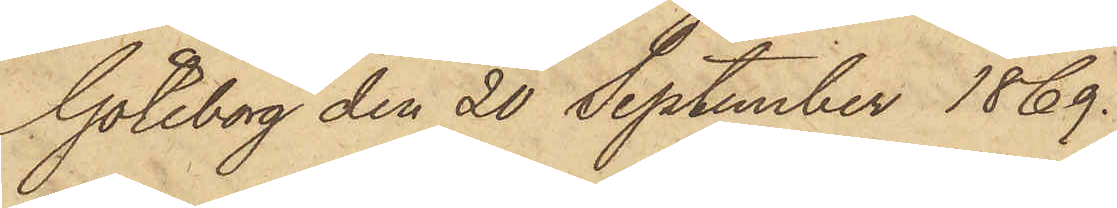Göteborg den 20 September 1869.
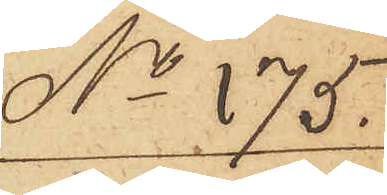No 175.
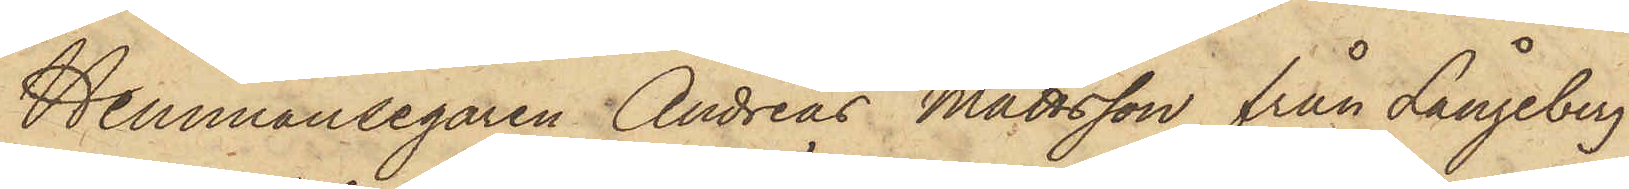Hemmansegaren Andreas Mattsson från Långeberg
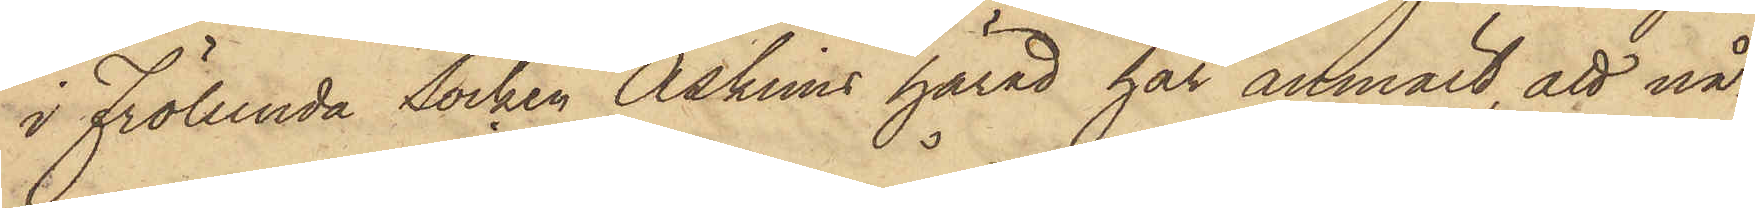i Frölunda Socken Askims härad har anmält, att nå¬
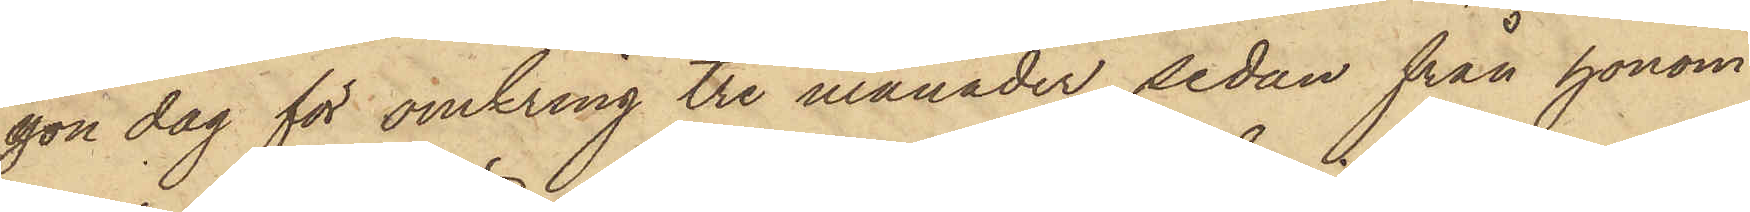gon dag för omkring tre månader sedan från honom
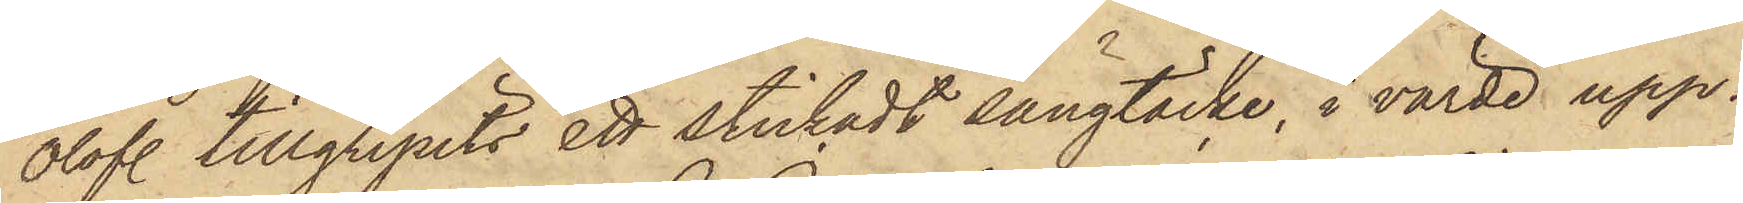Olofl. tillgripits ett stickadt sängtäcke, i värde upp¬
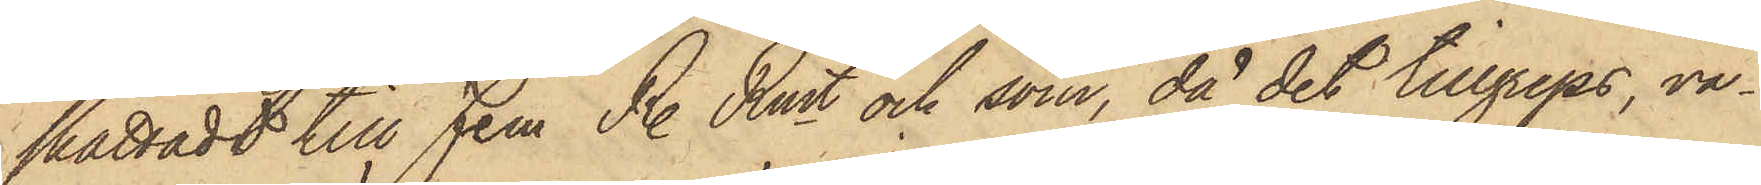skattadt till Fem R. Rmt och som, då det tillgreps, va¬
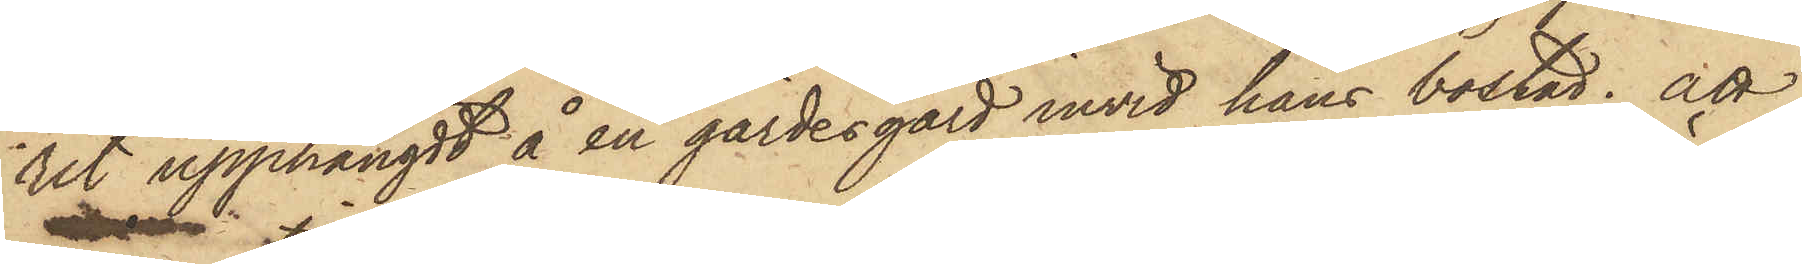rit upphängdt å en gärdesgård invid hans bostad; att
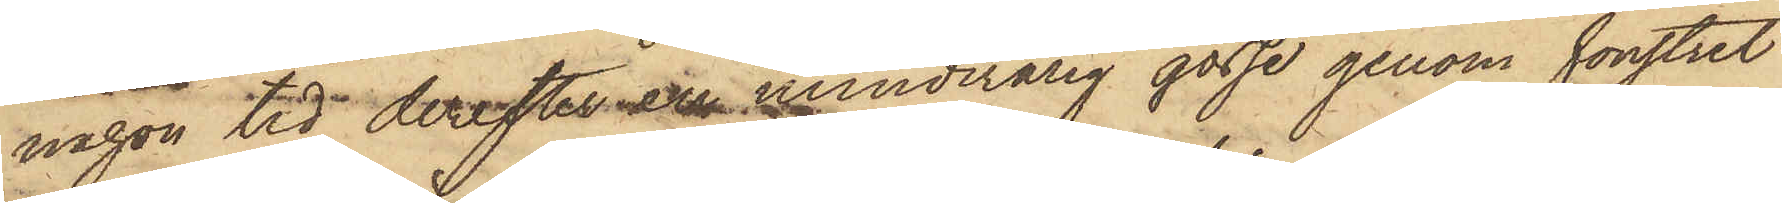någon tid derefter en minderårig gosse genom fönstret
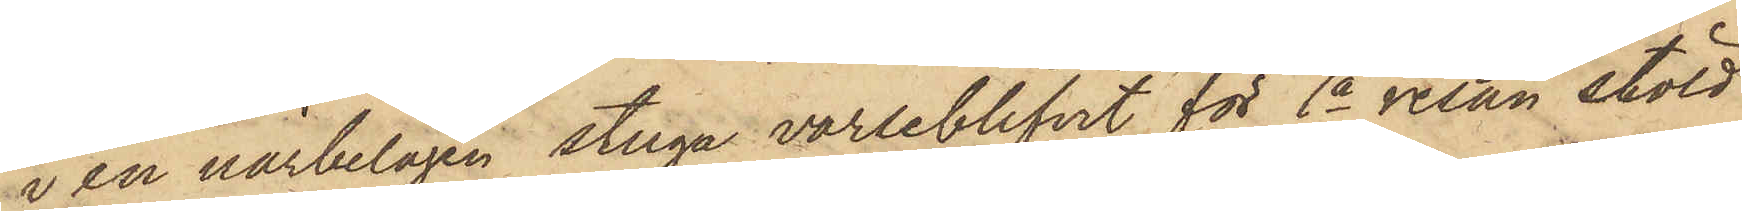i en närbelägen stuga varseblifvit för 1a resan stöld
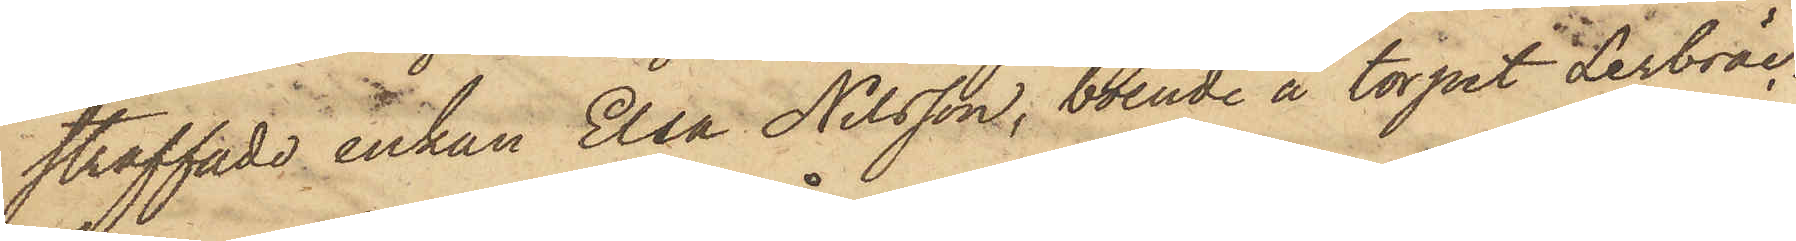straffade Enkan Elsa Nilsson, boende å torpet Lerbräc¬
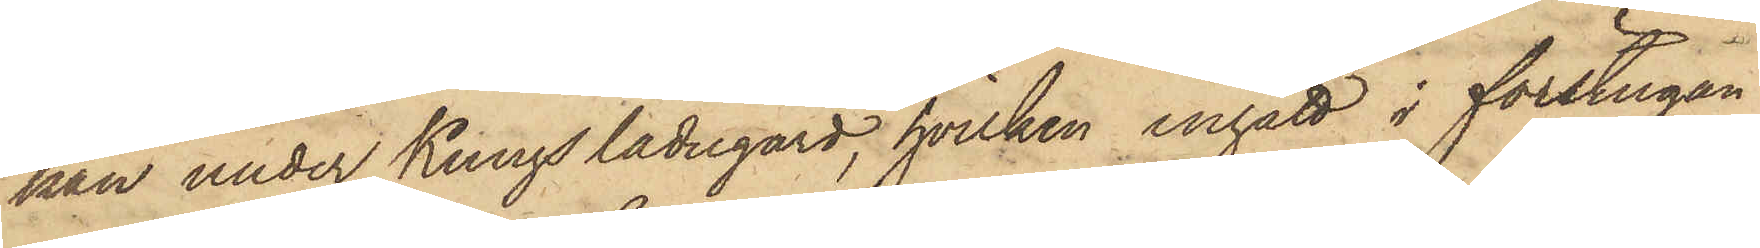kan under Kungs ladugård, hvilken ingått i förstugan
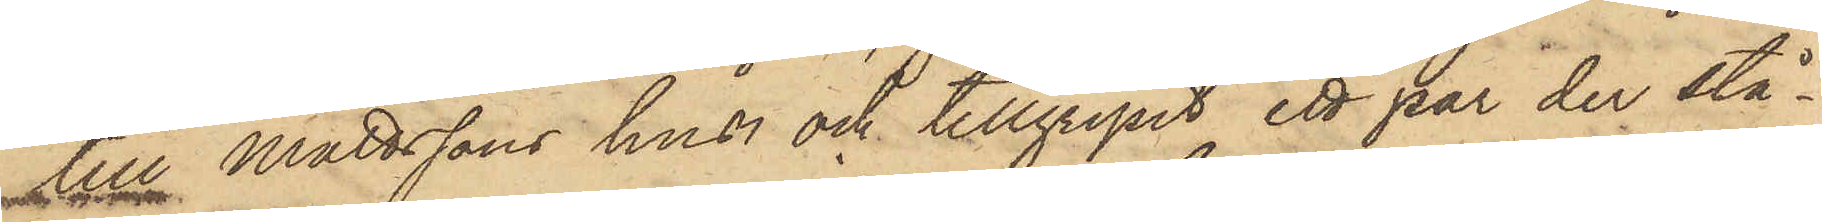till Mattssons hus och tillgripit ett par der stå¬
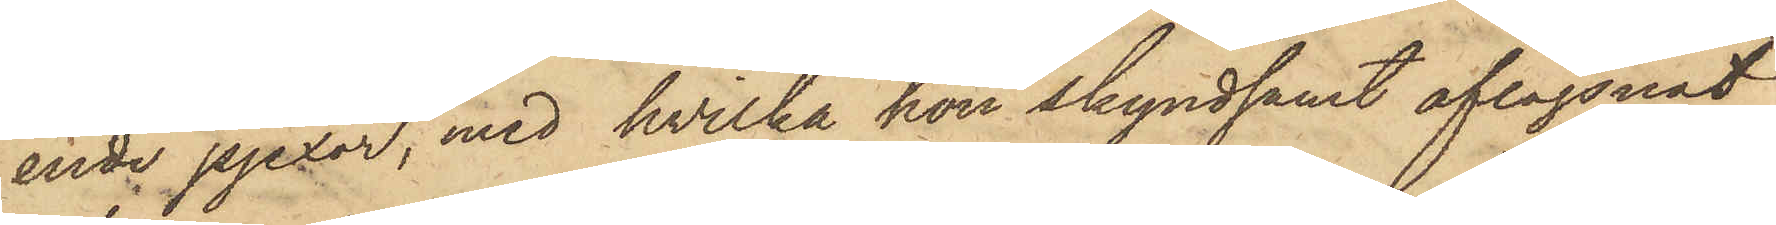ende pjexor, med hvilka hon skyndsamt aflägsnat
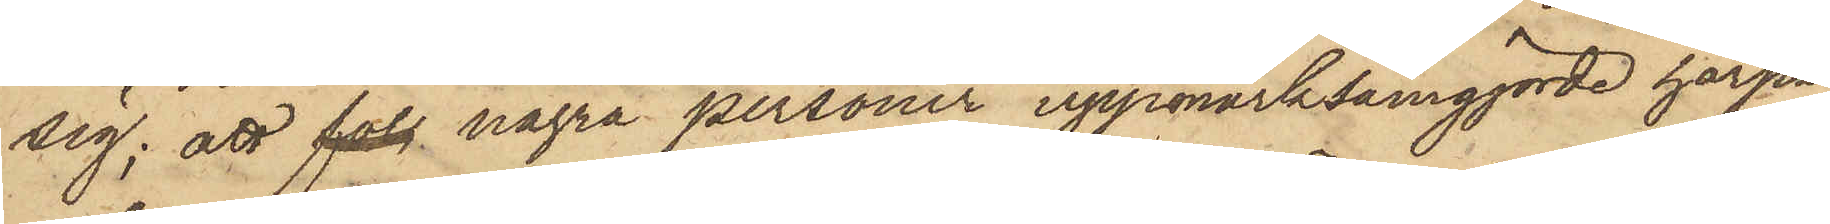sig; att fol några personer uppmärksamgjorde härpå,
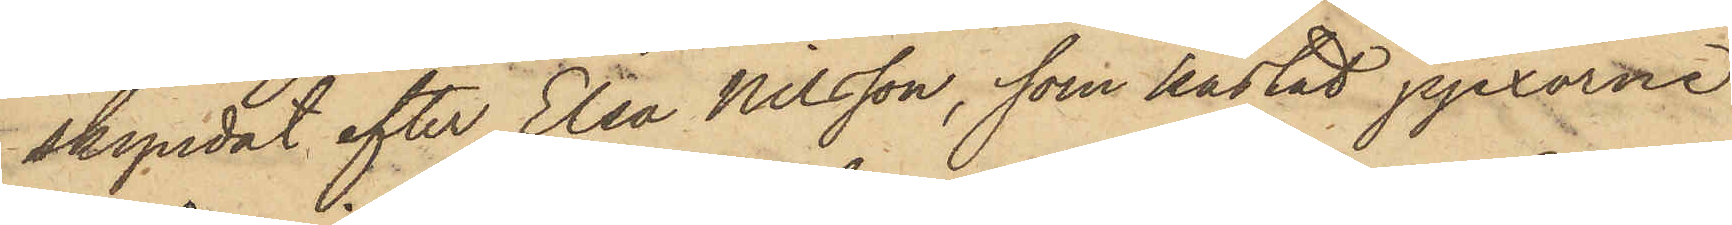skyndat efter Elsa Nilsson, som kastat pjexorna
